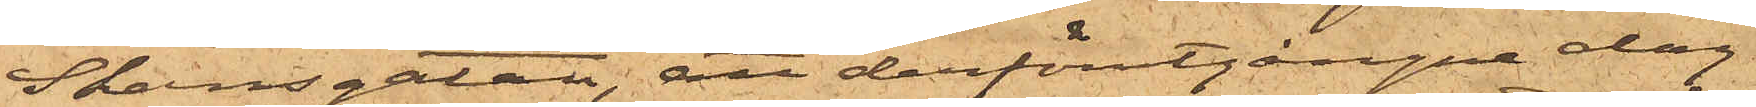Skansgatan, att derförutgångne dag
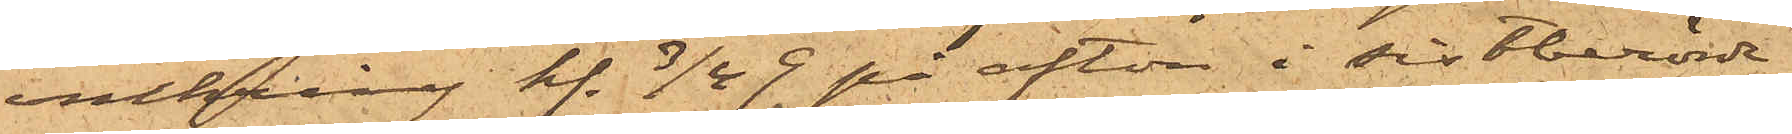omkring kl. 3/4 9. på afton i sistberörde
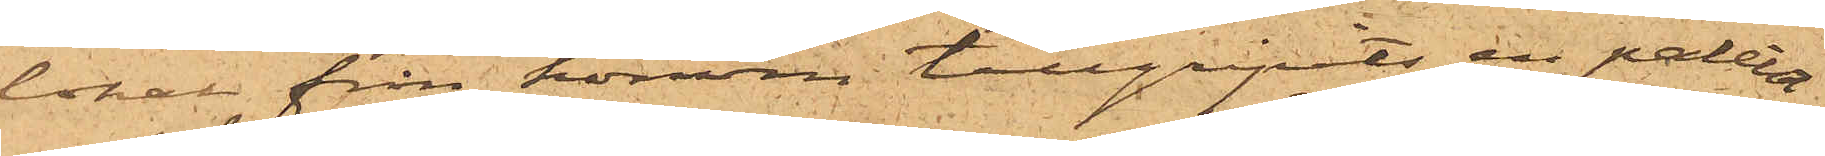lokal från honom tillgripits en paletot
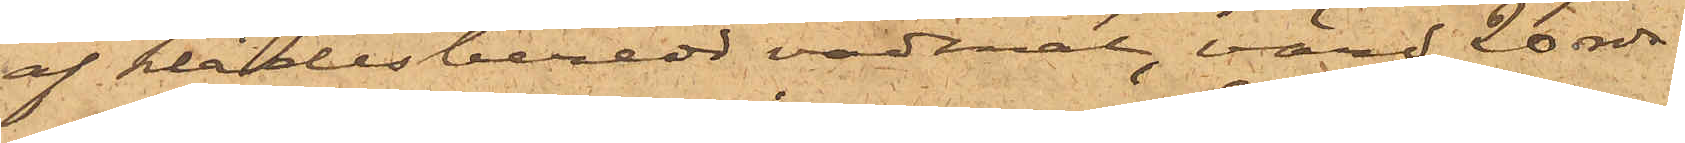af klädesberedd vadmal, värd 20 rdr.
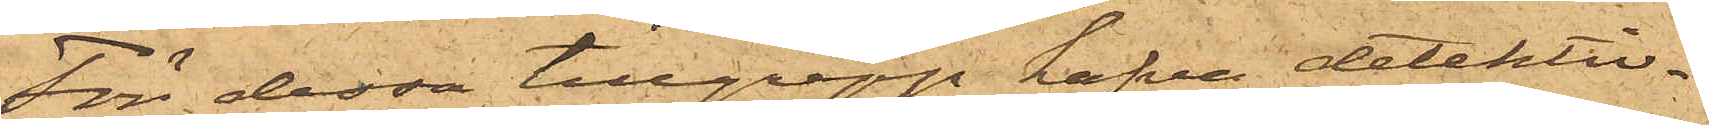För dessa tillgrepp hafva detektiv¬
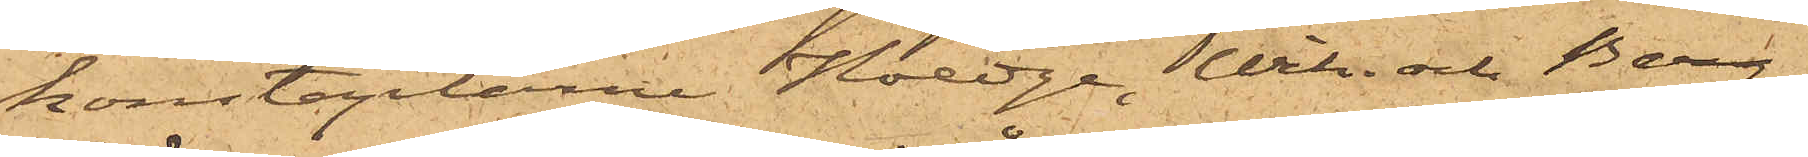konstaplarne Hedge, Wik och Berg¬
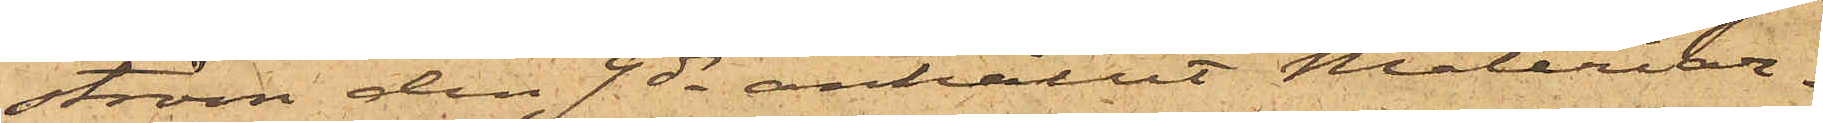ström den 9 ds anhållit Måleriar¬
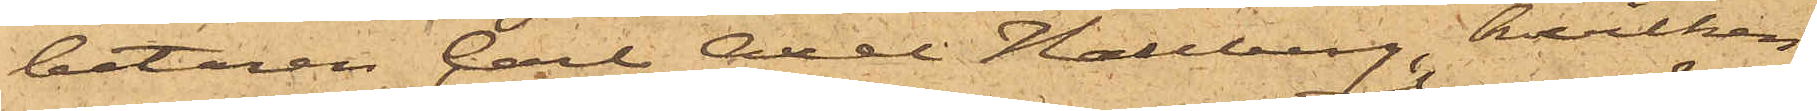betaren Carl Axel Hallberg, hvilken
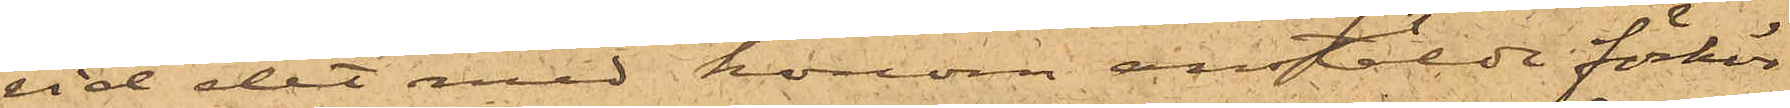vid det med honom anstälde förhör
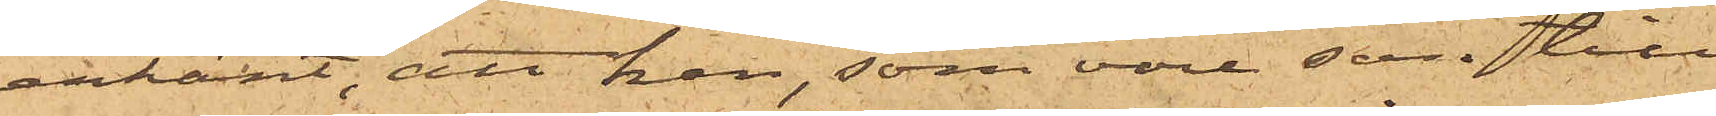erkänt, att han, som vore son till
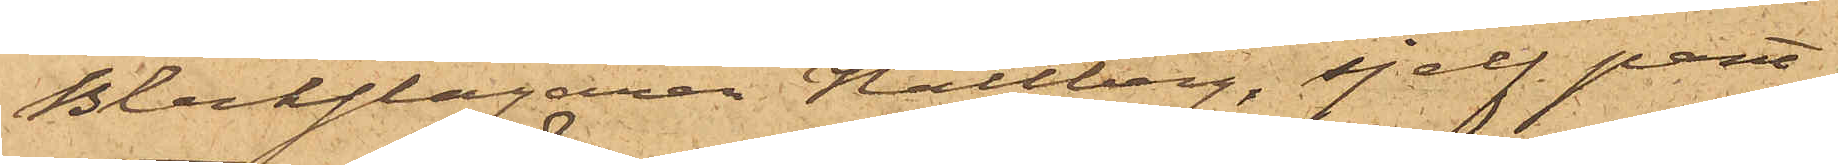Bleckslagaren Hallberg, sjelf pant¬
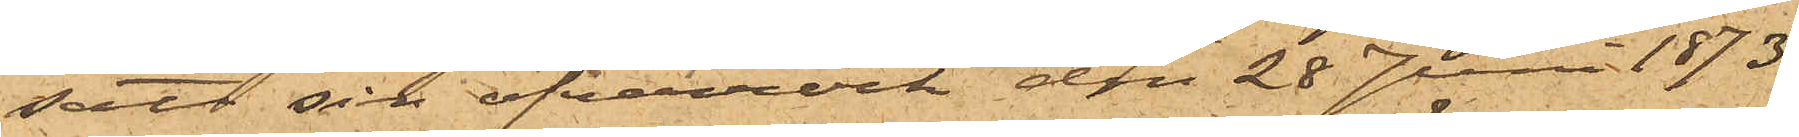satt sin öfverrock den 28 Juni 1873
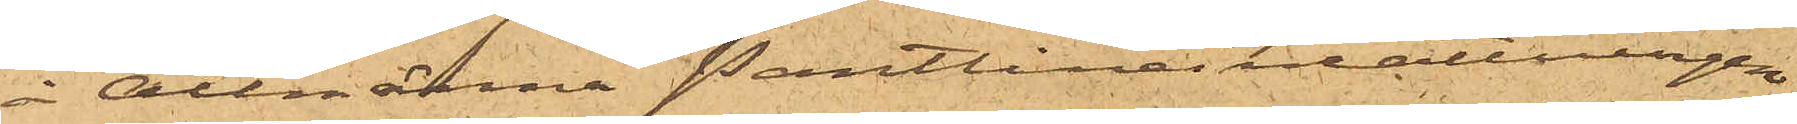å Allmänna Pantlåneinrättningen
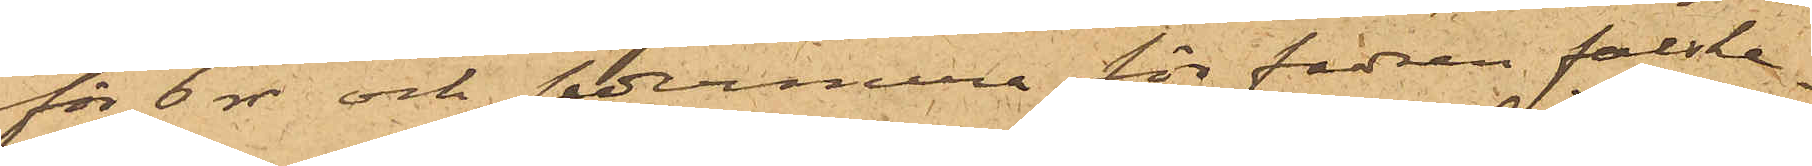för 6 rdr och sedermera för fadren falske¬
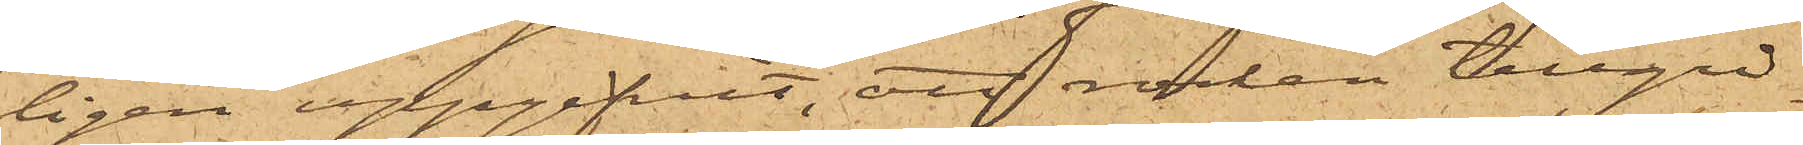ligen uppgifvit, att rocken tillgri¬
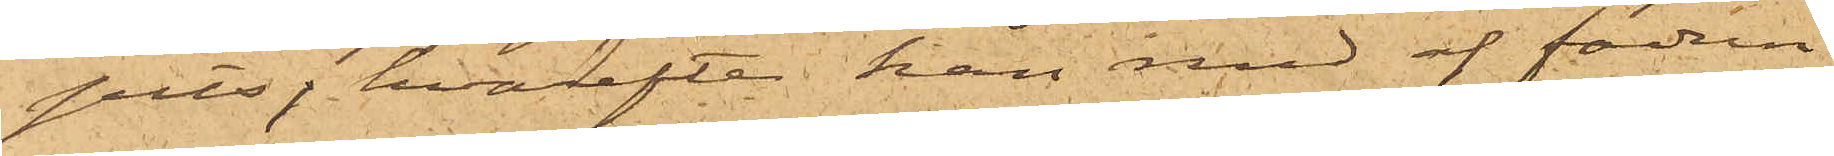pits, hvarefter han med af fadren
